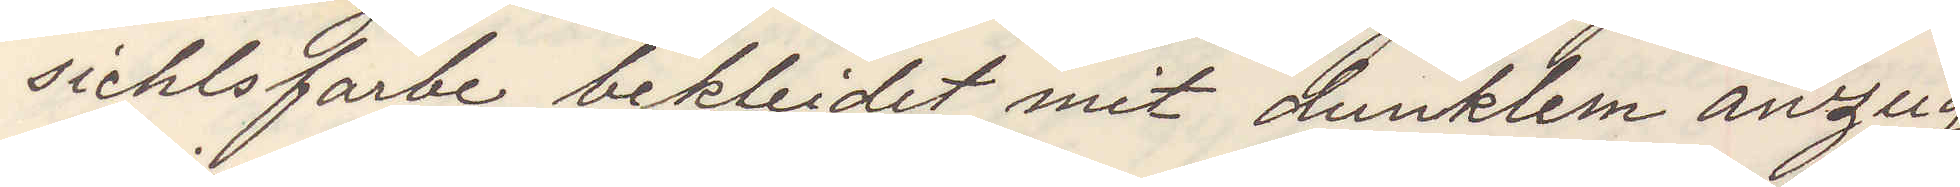sichtsfarbe bekleidet mit dunklem anzug,
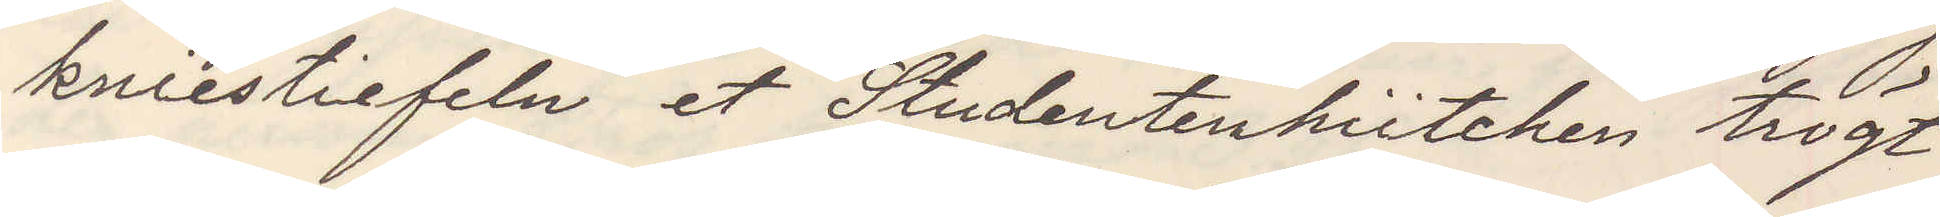kniestiefeln et Studentenhütchen trögt
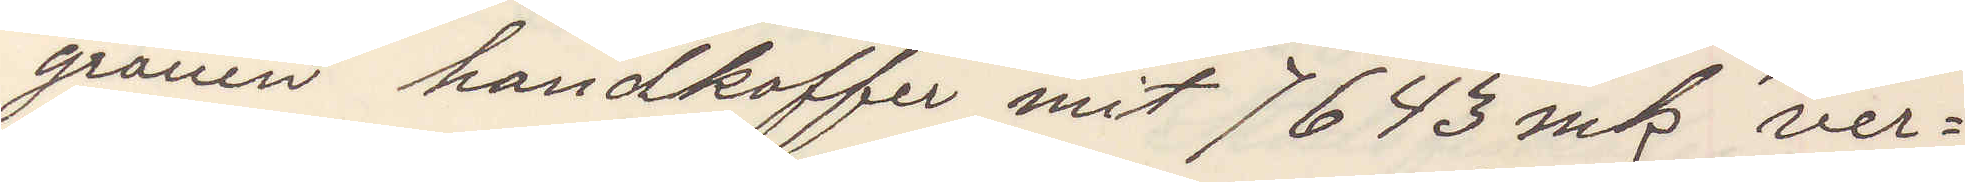grauen handkoffer mit 7643 mk ver¬
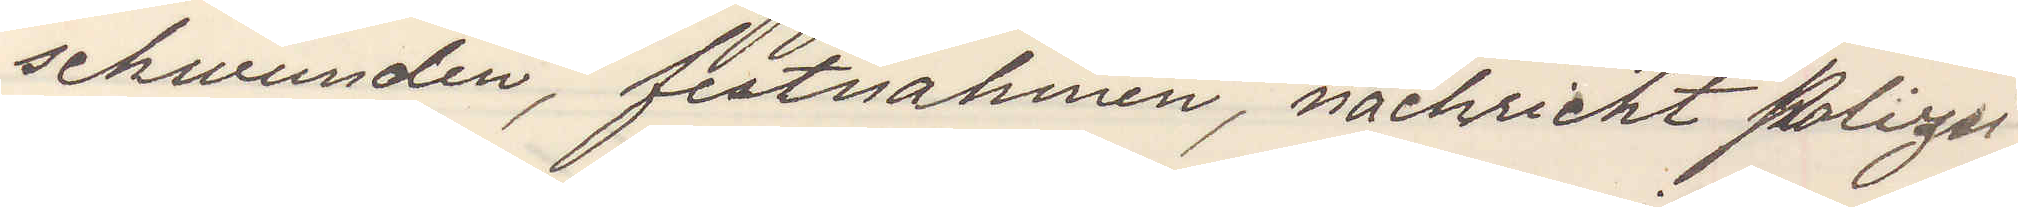schwunden, festnahmen nachricht Polizei
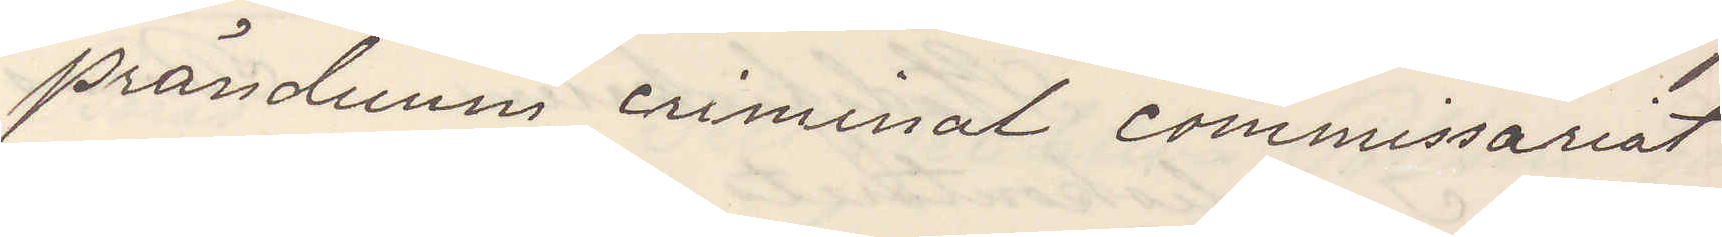präsiduum criminal commisariat
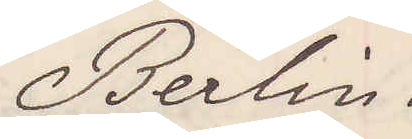Berlin.
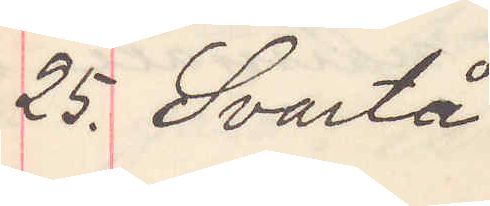25. Svartå
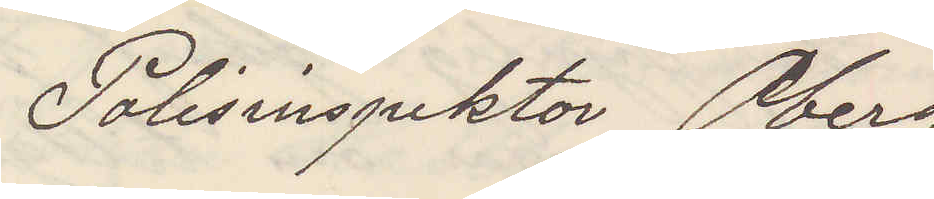Polisinspektor Öberg
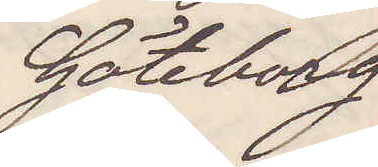Göteborg
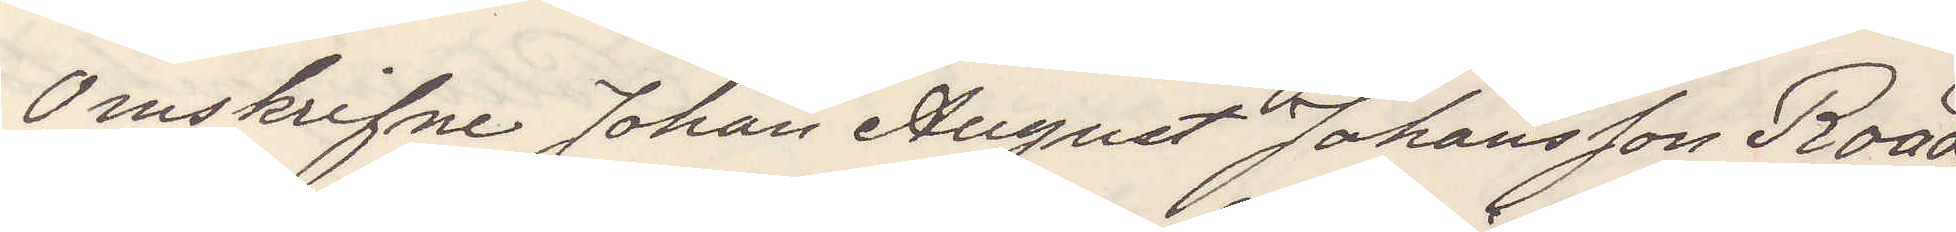Omskrifne Johan August Johansson Road
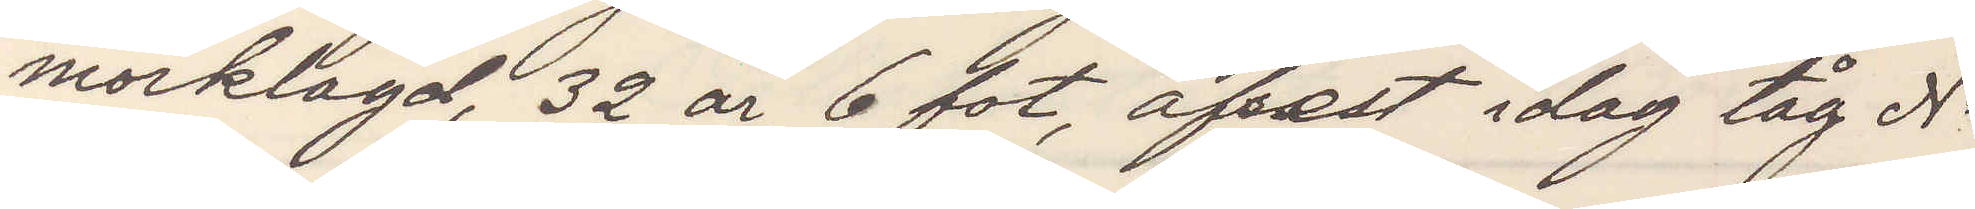mörklagd, 32 år, 6 fot, afrest idag tåg No
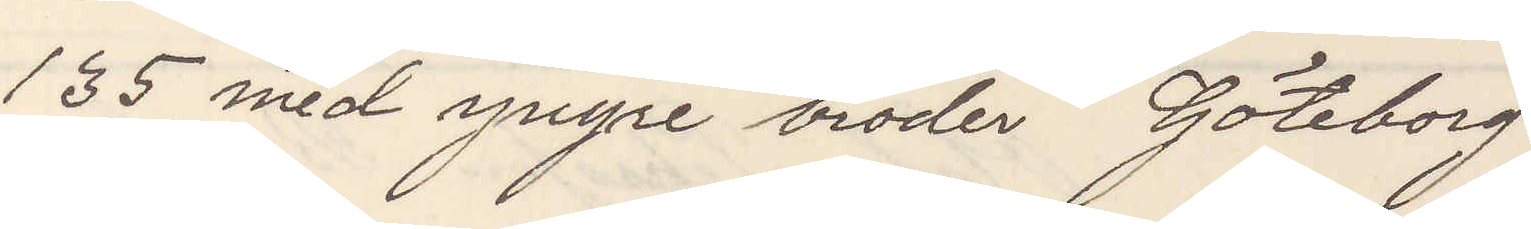135 med yngre broder Göteborg
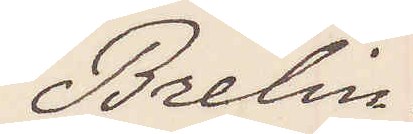Brelin.
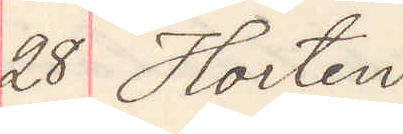28 Horten
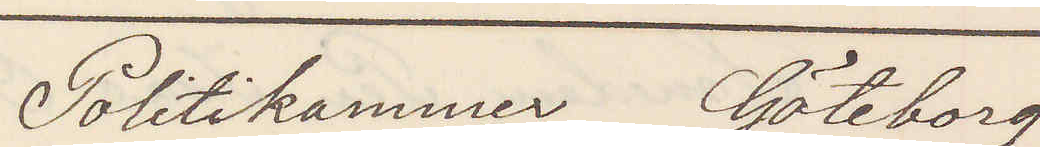Politikammer Göteborg
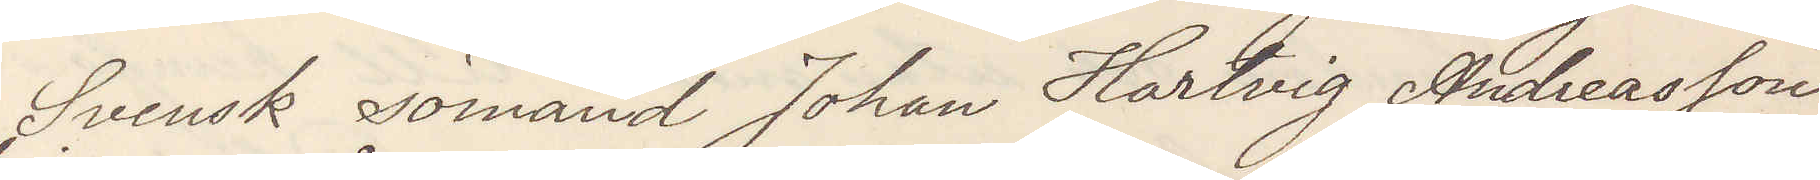Svensk sjömand Johan Hartvig Andreasson
